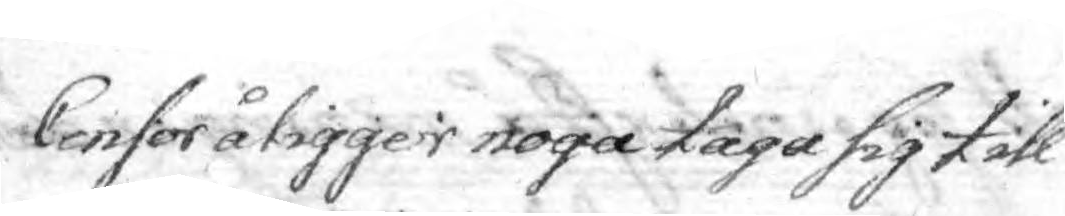Censor åligger noga taga sig till
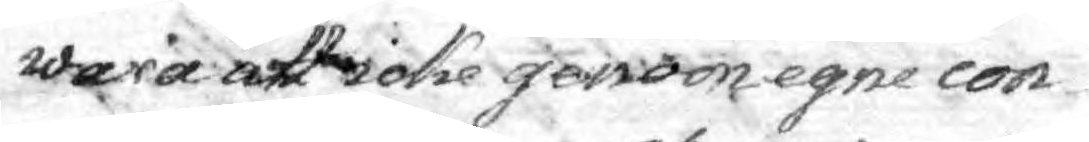wara att icke genom egne con¬
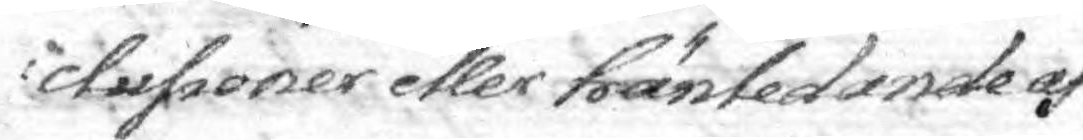clusioner eller hänledande af
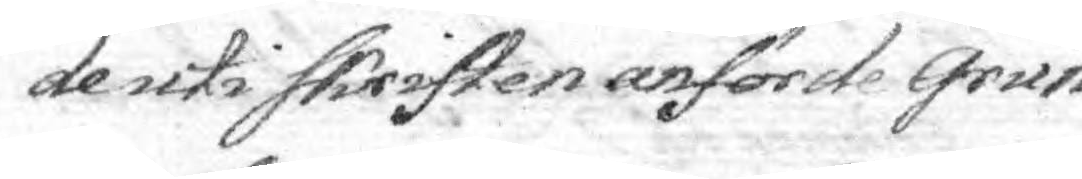de uti Skriften anförde Grun¬
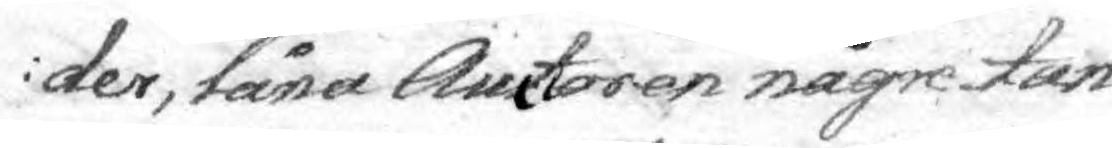der, låna Auctoren någre tan¬
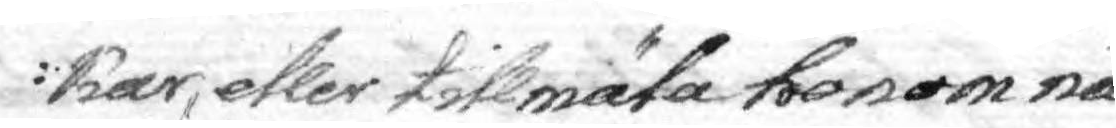kar, eller tillmäla honom nå¬
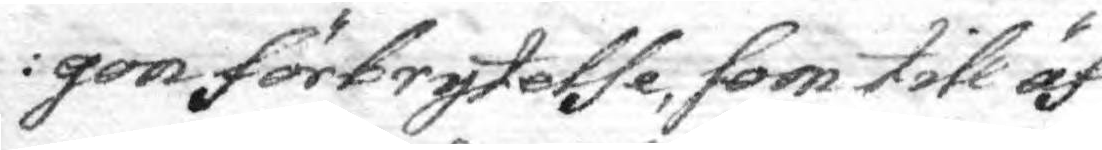gon förbrytelse, som till äf¬
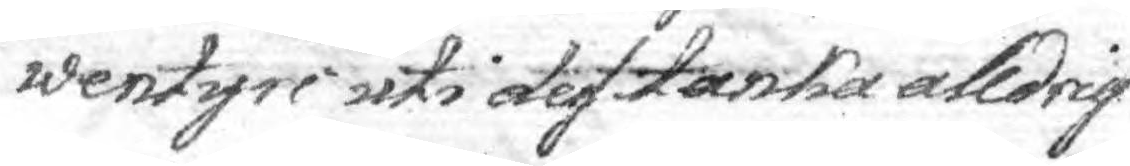wentyri uti des tanka alldrig
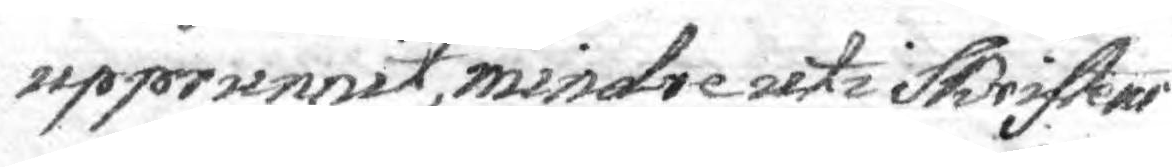upprunnit, mindre uti Skriftens
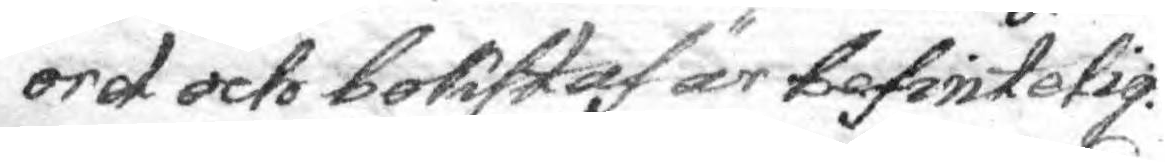ord och bokstaf är befintelig.
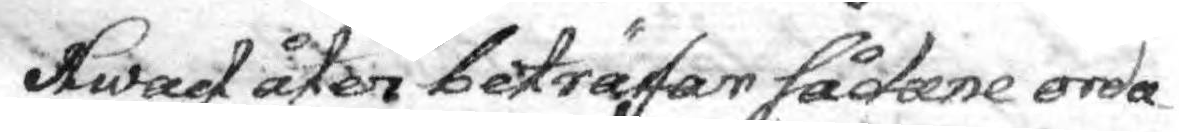Hwad åter beträfar sådene orda¬
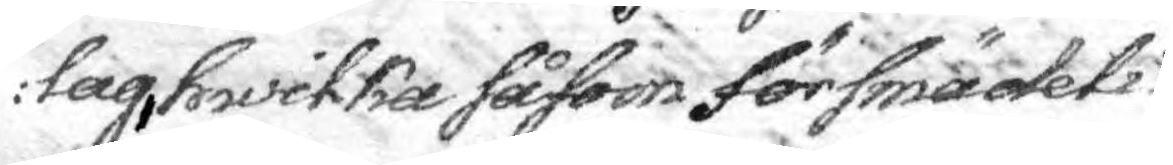lag hwilka såsom försmädeli¬
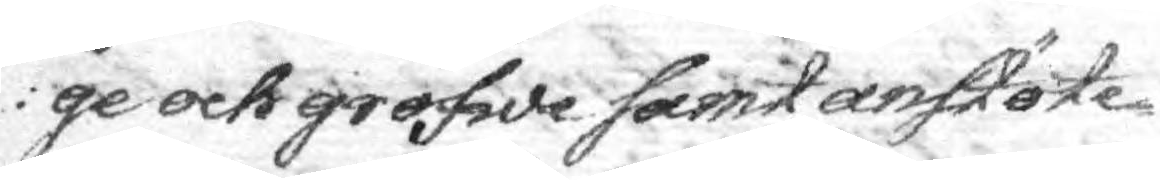ge och grofwe samt anstöte¬
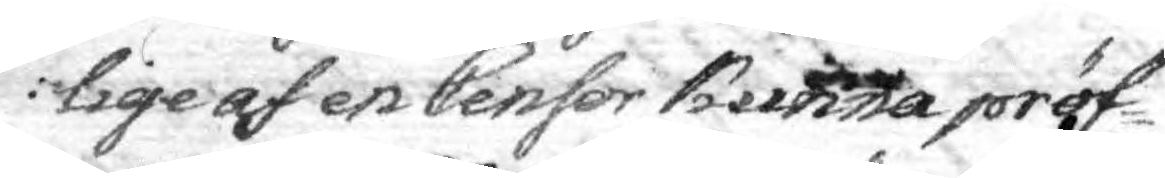lige af en Censor kunna pröf¬
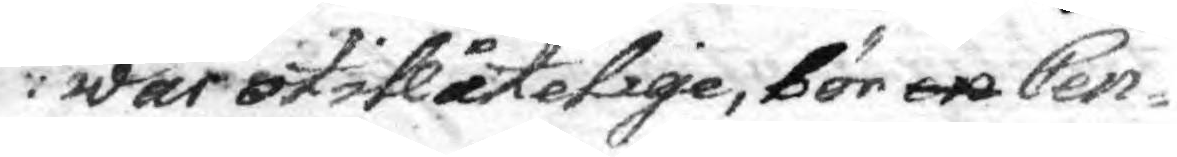war otillåtelige, bör en Cen¬
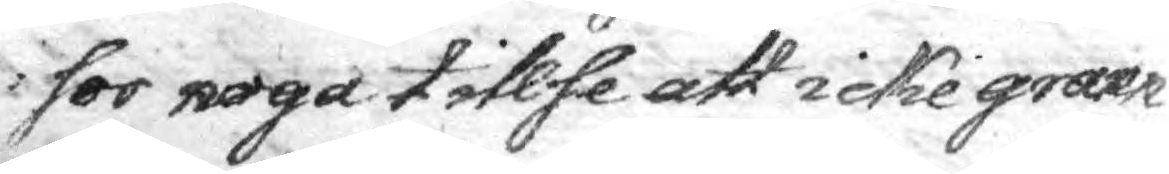sor noga tillse att icke gran¬
